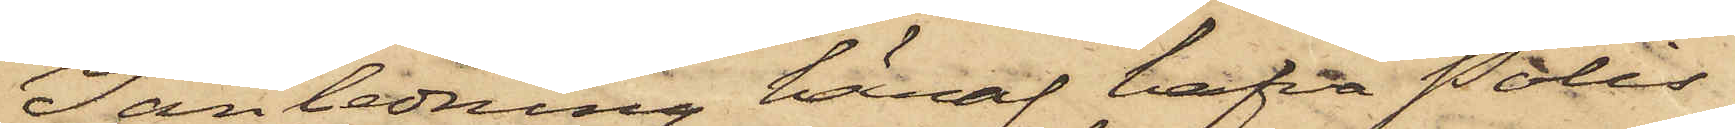I anledning häraf hafva Polis¬
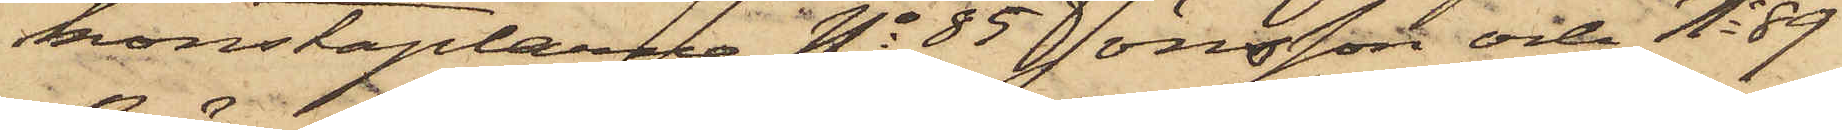konstaplarne No 85 Jönsson och No 89
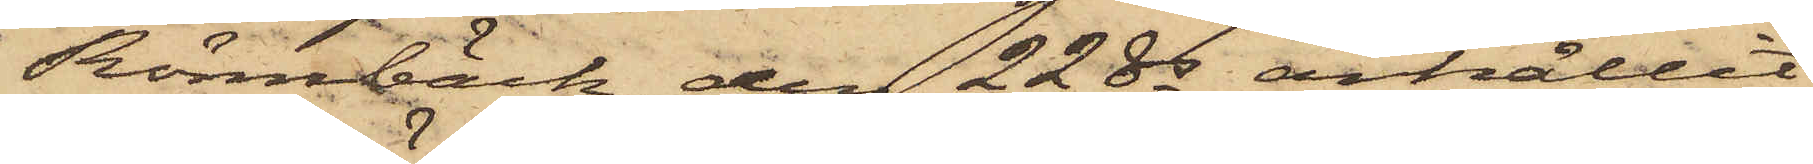Rönnbäck den 22 ds anhållit
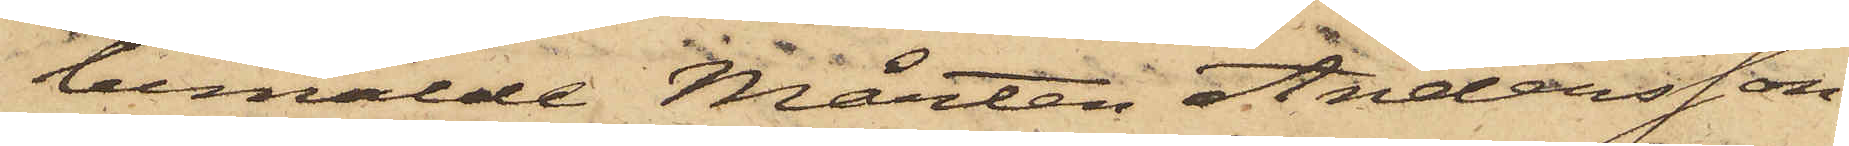bemälde Mårten Andersson,
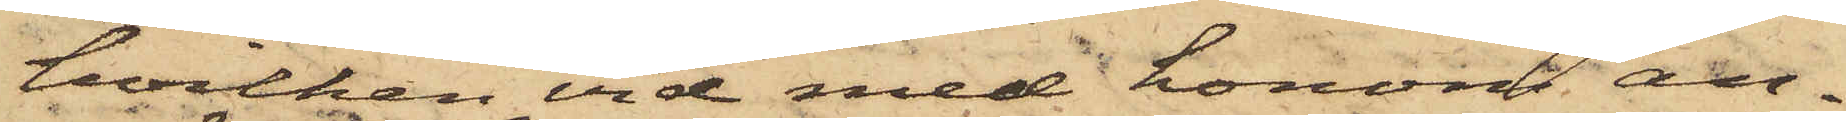hvilken vid med honom an¬
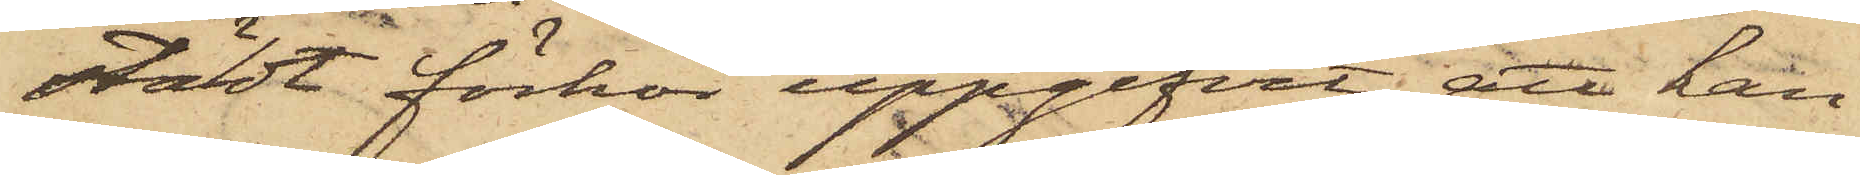stäldt förhör uppgifvit, att han
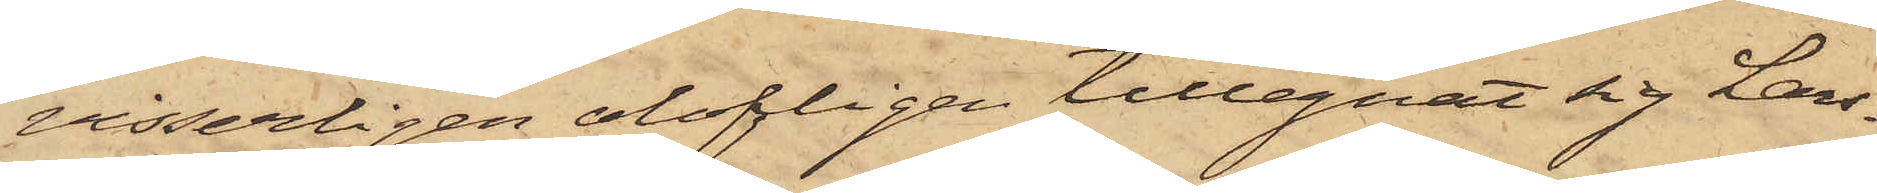visserligen olofligen tillegnat sig Lars¬
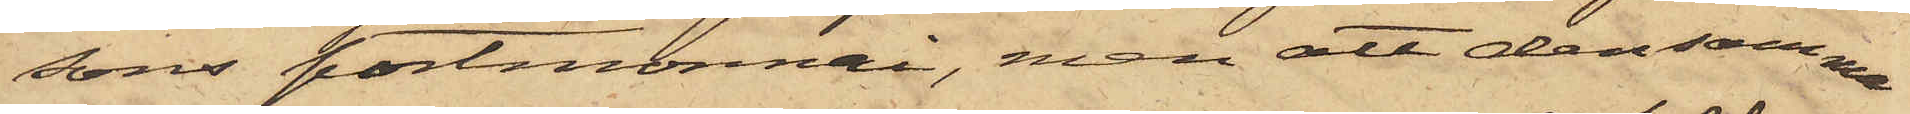sons portmonnai, men att densamma
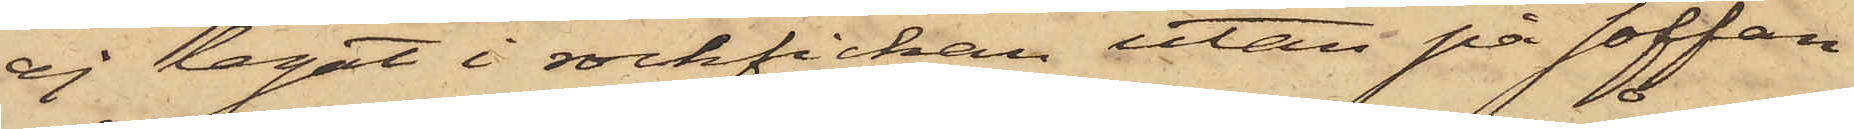ej legat i rockfickan utan på soffan
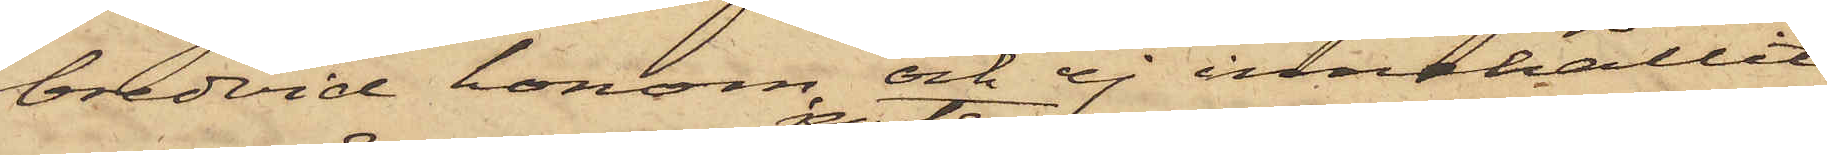bredvid honom och ej innehållit
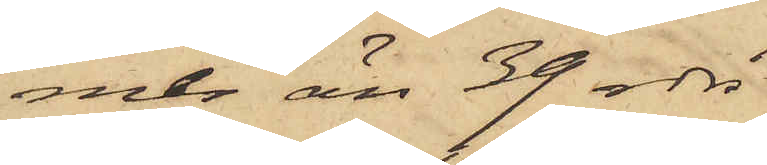mer än 39 rdr
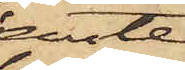jemte
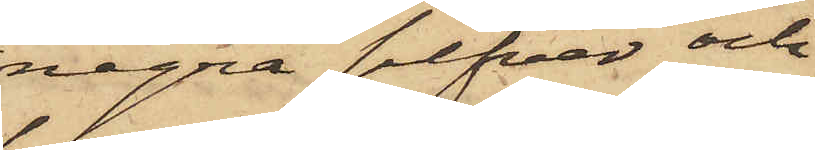några silfver och
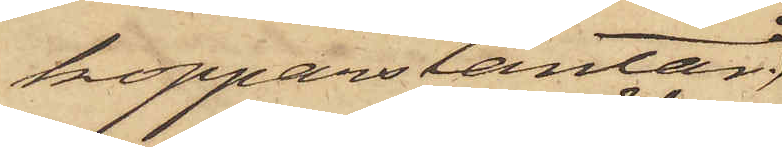kopparslantar;
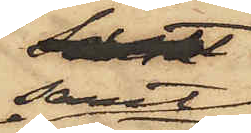samt
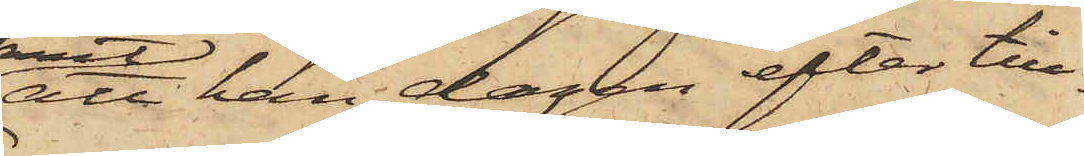att han dagen efter till¬
